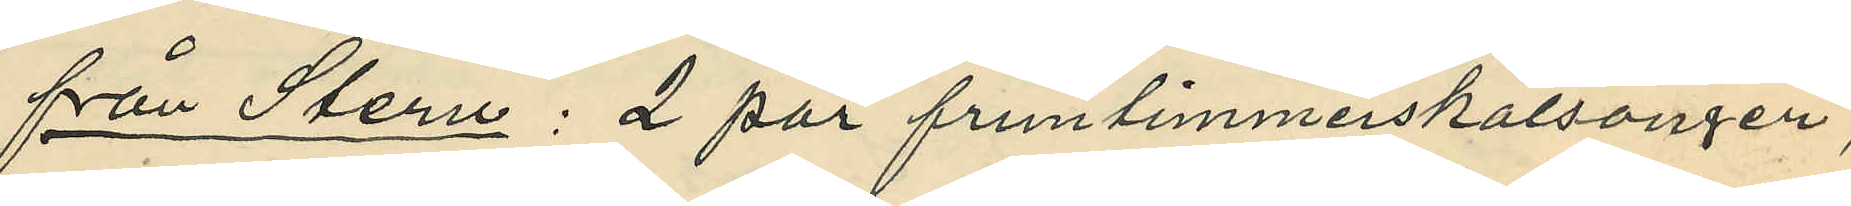från Stern: 2 par fruntimmerskalsonger,
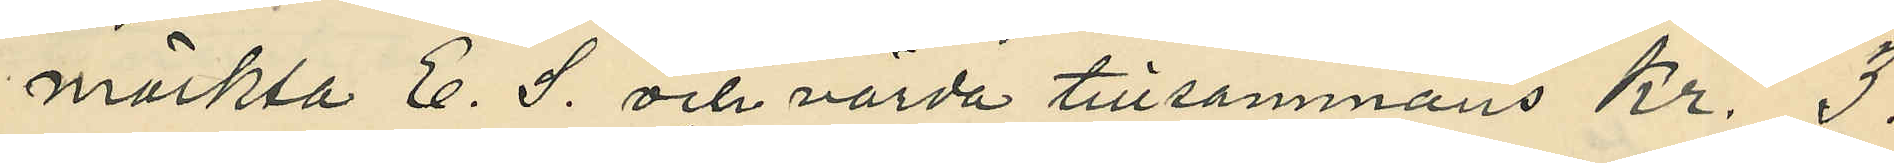märkta E. S. och värda tillsammans Kr. 3:
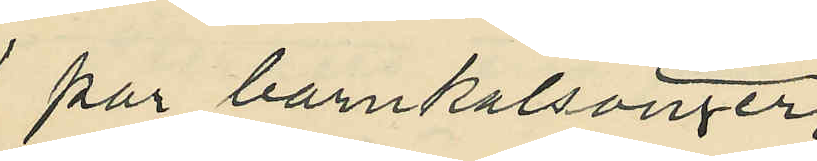1 par barnkalsonger;
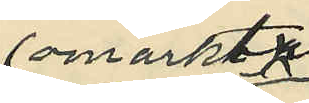omärkt
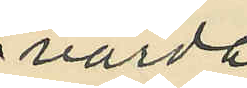värde
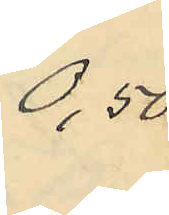0,50
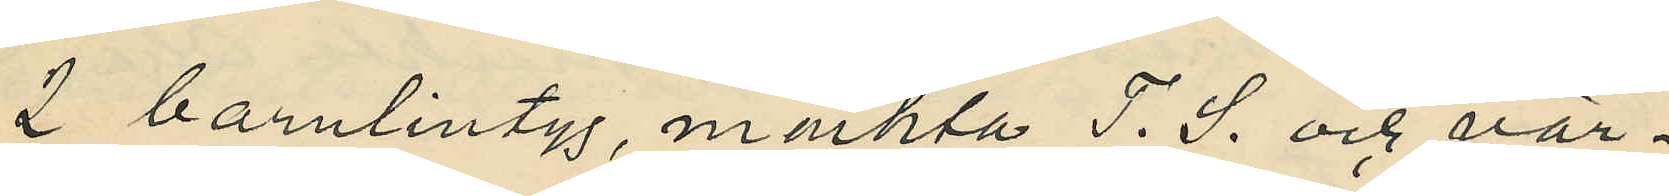2 barnlintyg, märkta T. S. och vär¬
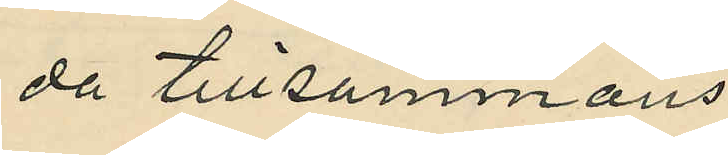da tillsammans
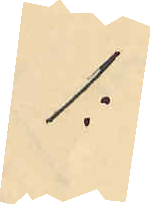1:
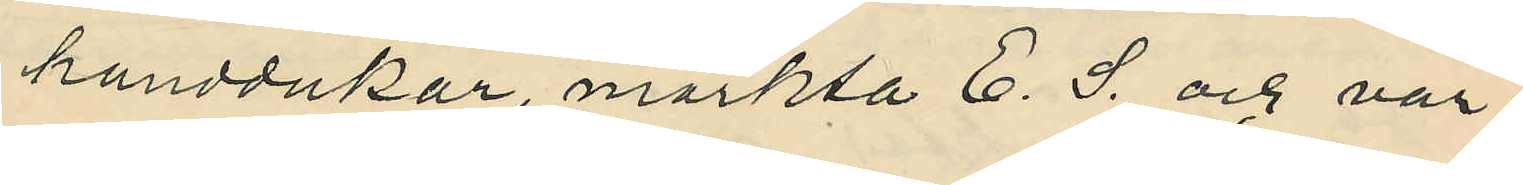handdukar, märkta E. S. och vär¬
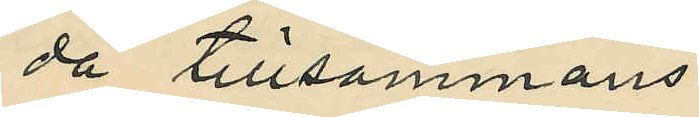da tillsammans
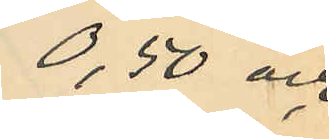0,50 och
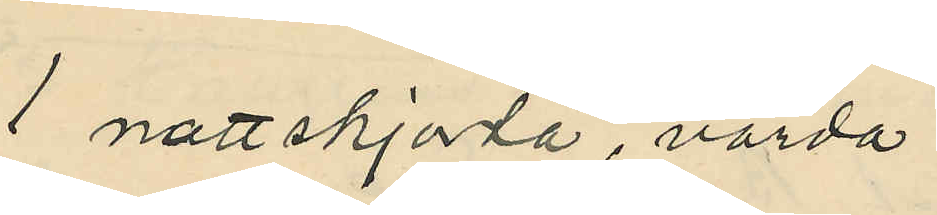1 nattskjorta, värda
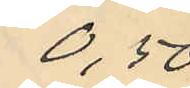0,50
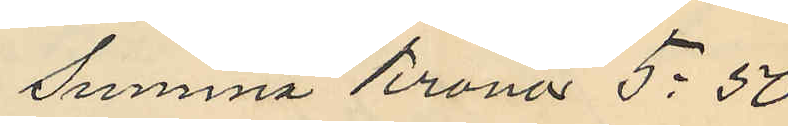summma Kronor 5:50
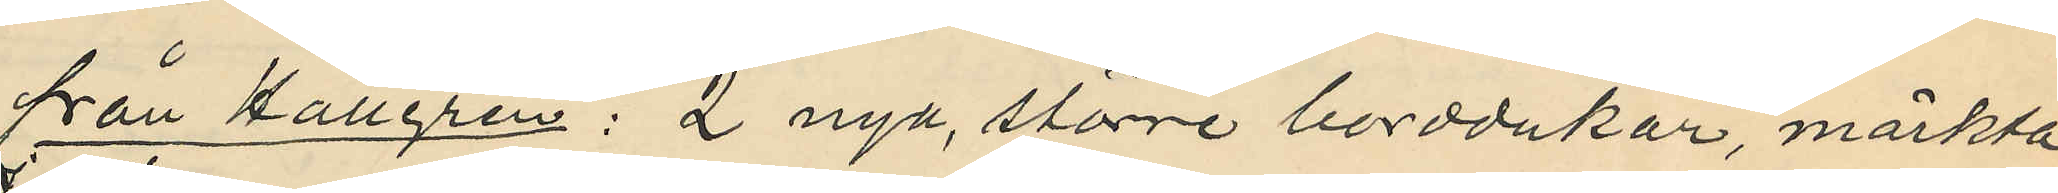från Hallgren: 2 nya, större borddukar, märkta
